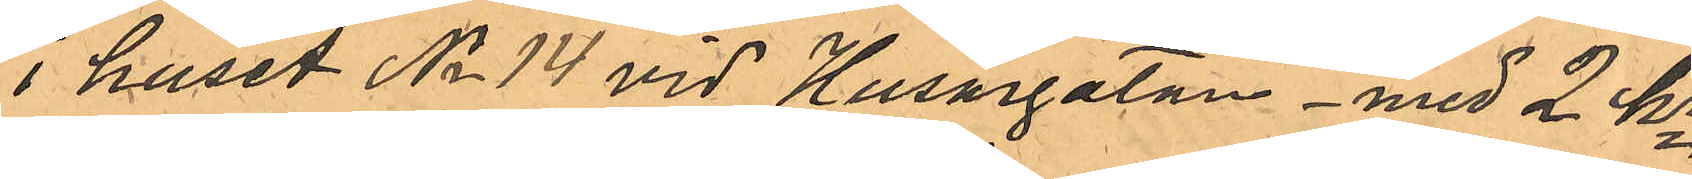i huset No 14 vid Husargatan - med 2 kr
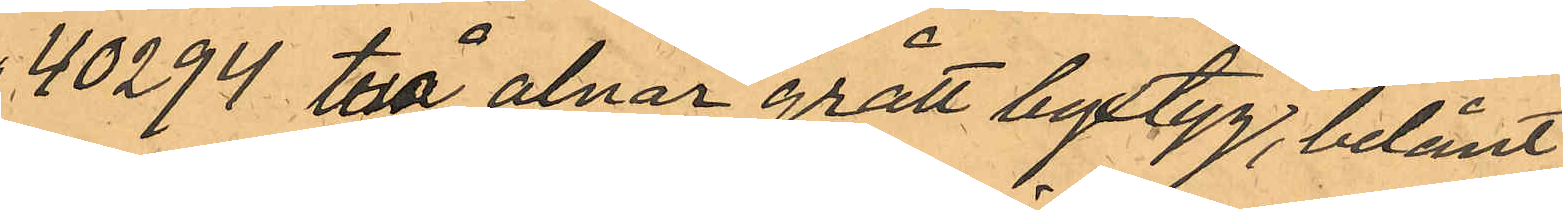40294 två alnar grått byxtyg, belånt
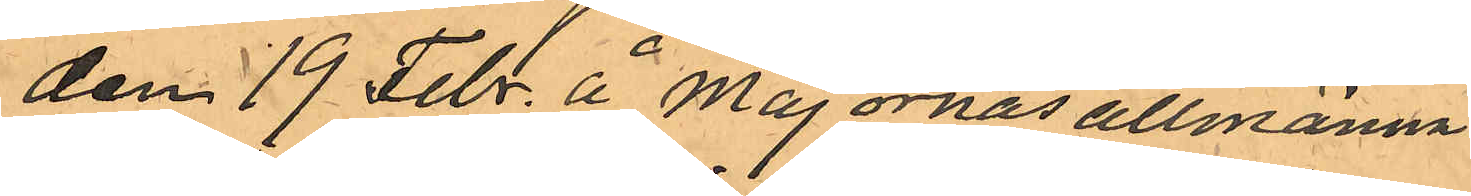den 19 Febr. å Majornas allmänna
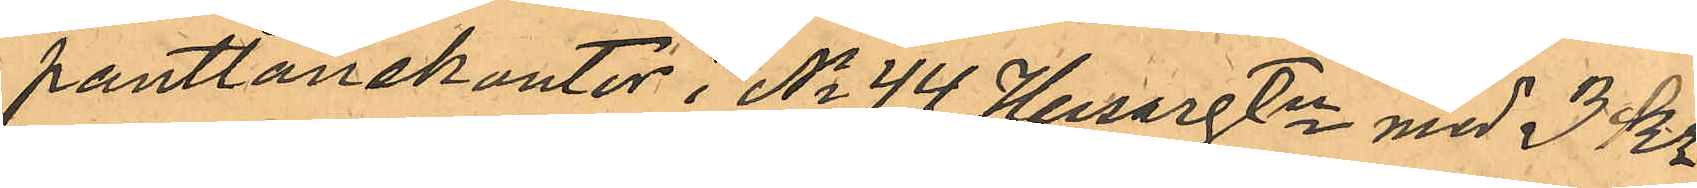pantlånekontor i No 44 Husargtn med 3 Kr.
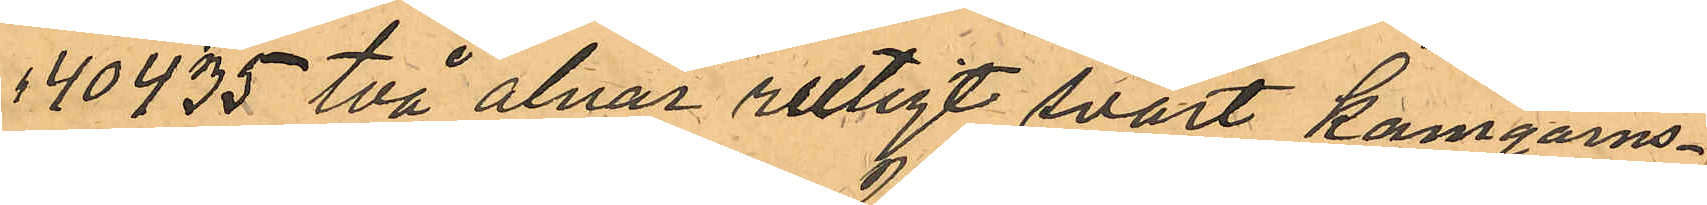40435 två alnar rutigt svart Kamgarns¬
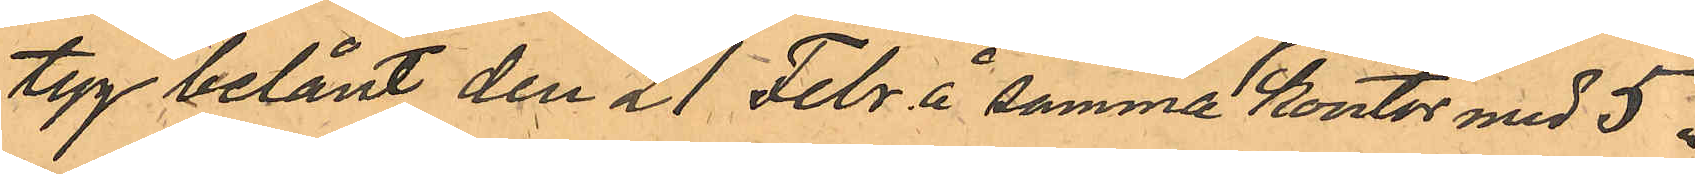tyg belånt den 21 Febr. å samma kontor med 5 "
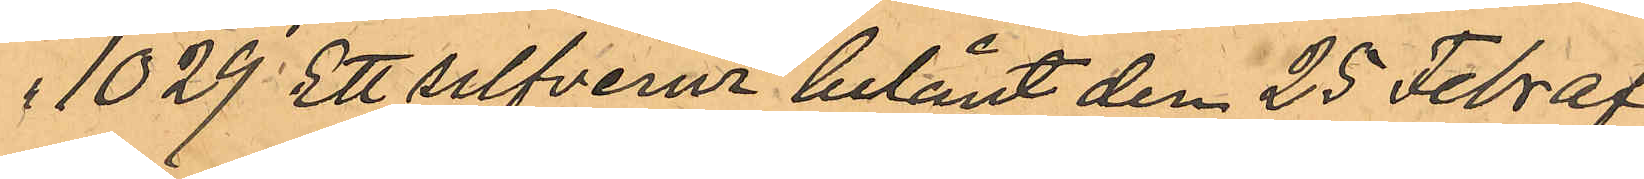1029 Ett silfverur belånt den 25 Febr af
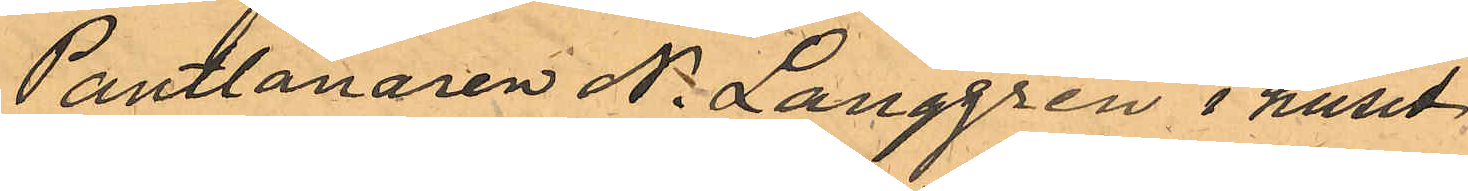Pantlånaren N. Langgren i huset
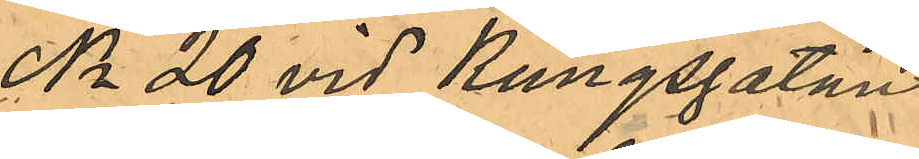No 20 vid Kungsgatan
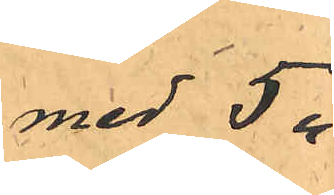med 5 "
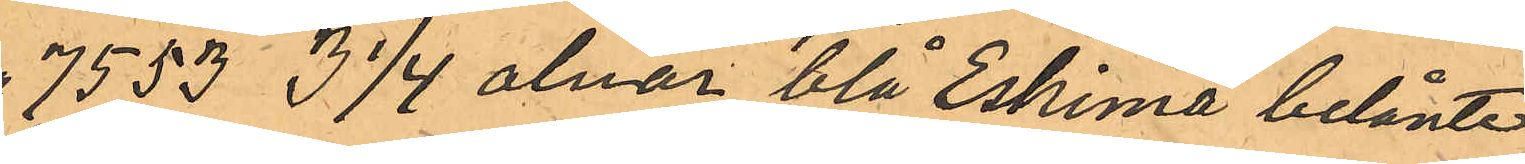7553 3 1/4 alnar blå Eskimå belånte
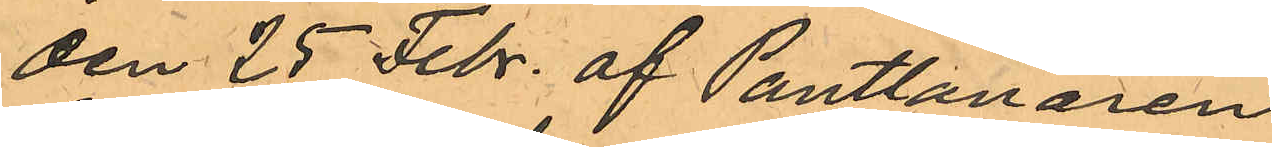den 25 Febr. af Pantlanaren
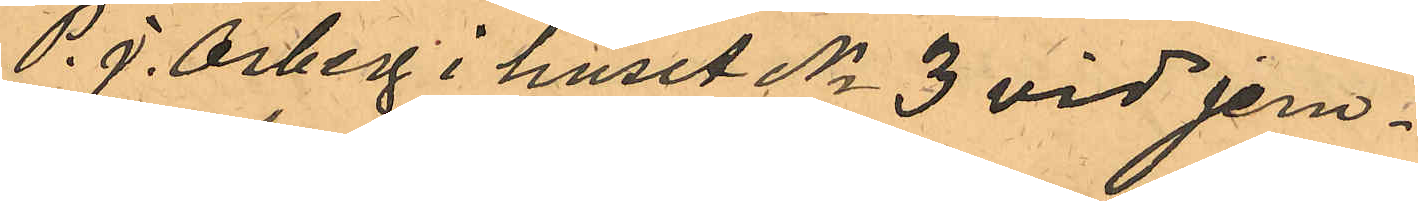P. J. Osberg i huset No 3 vid Jern¬
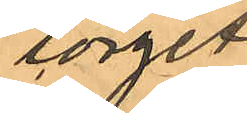torget
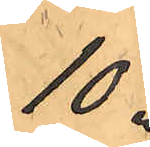10 "
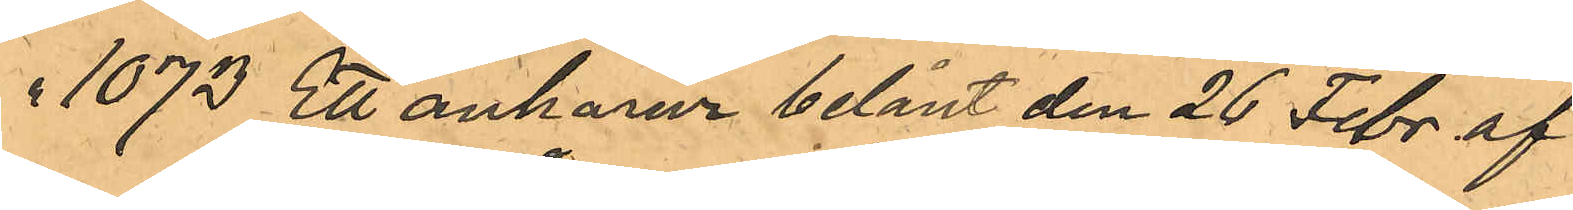" 1073 Ett ankarur belånt den 26 Febr af
